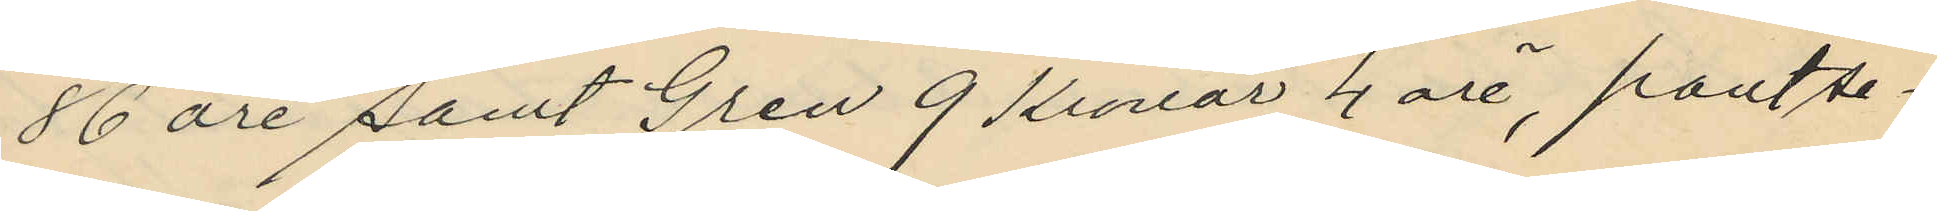86 öre samt Gren 9 Kronor 4 öre, pantse¬
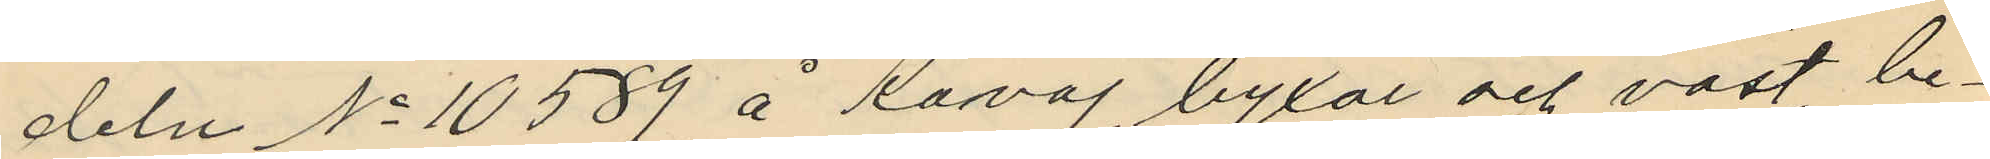deln No 10589 å Kavaj, byxor och väst, be¬
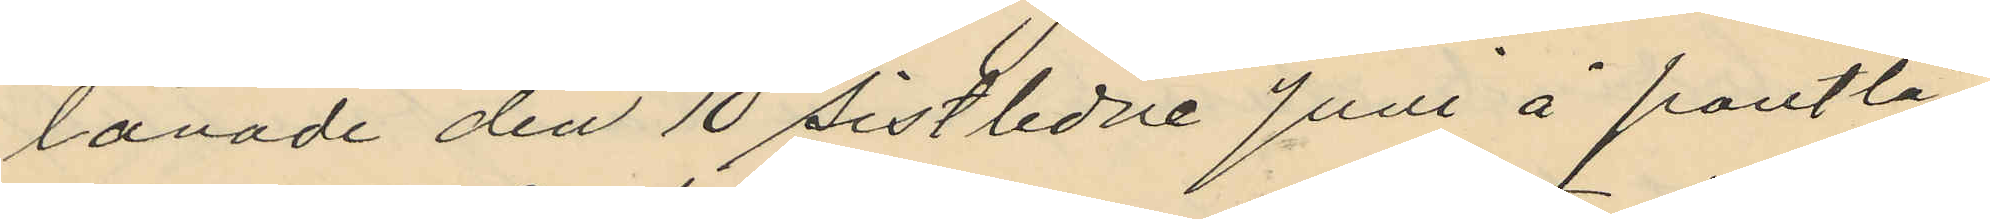lånade den 10 sistlidne Juni å pantlå¬
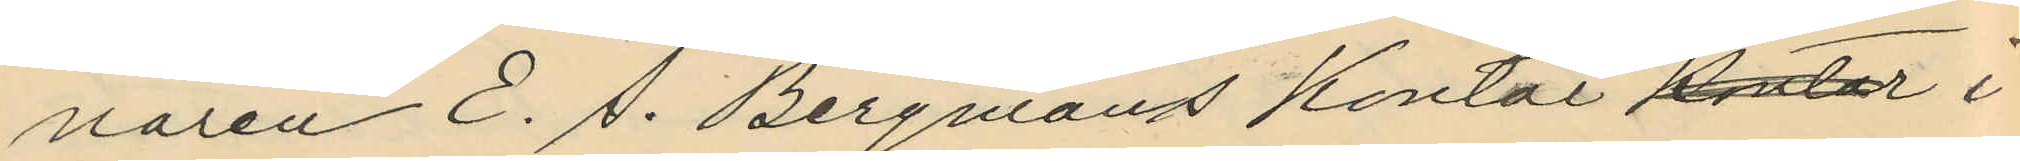naren E. S. Bergmans kontor kontor i
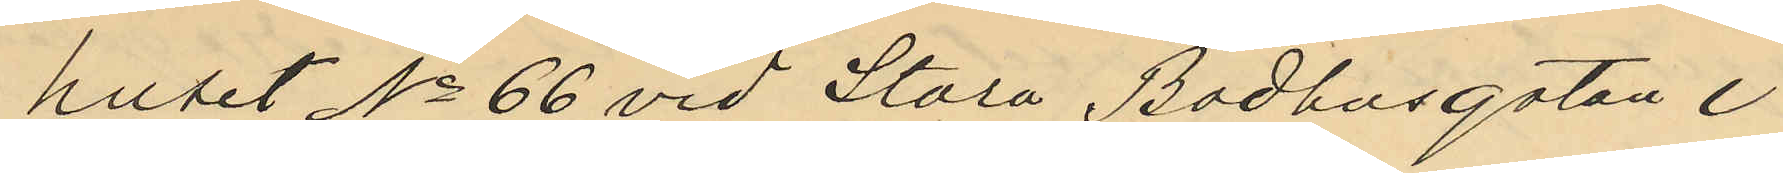huset No 66 vid Stora Badhusgatan i
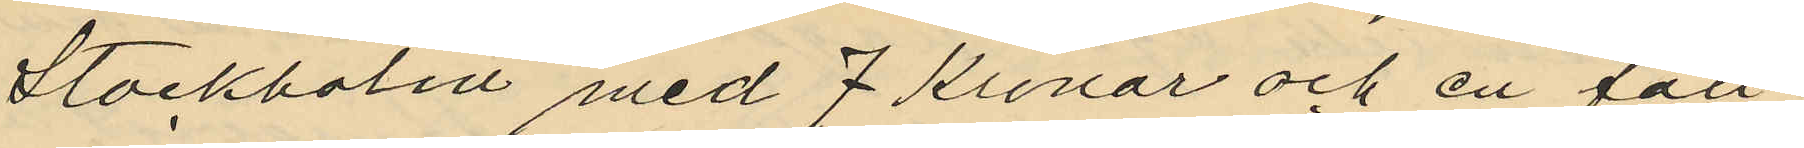Stockholm med 7 Kronor och en fäll
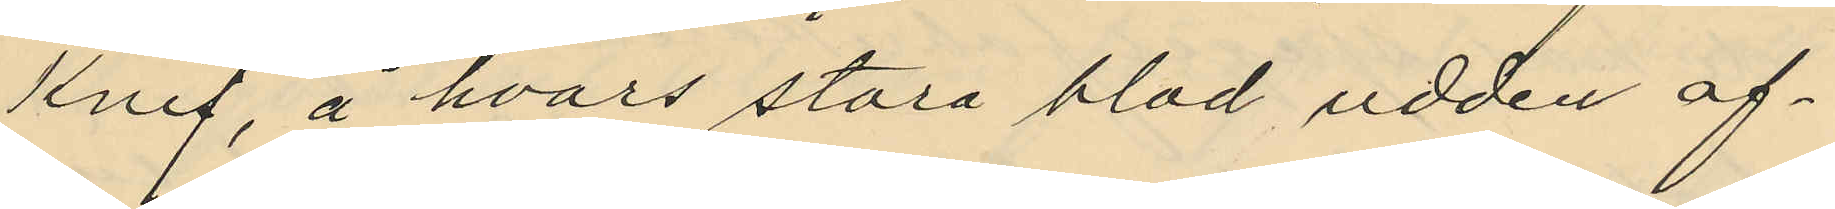knif, å hvars stora blad udden af¬
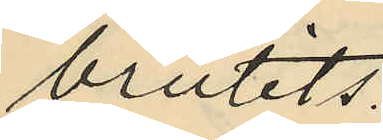brutits.
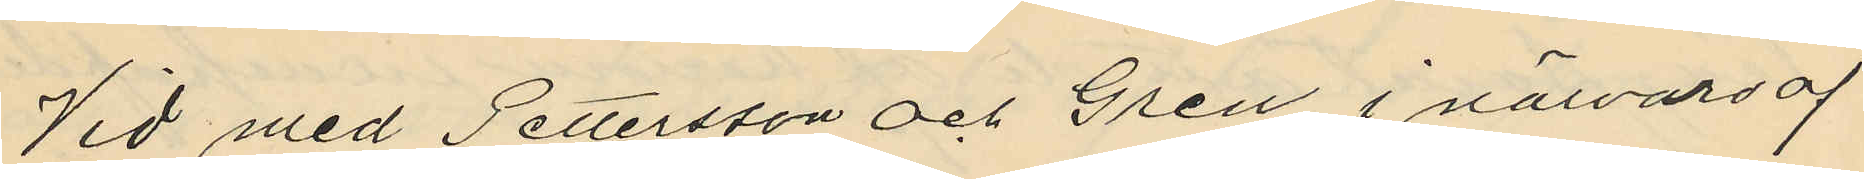Vid med Pettersson och Gren i närvaro af
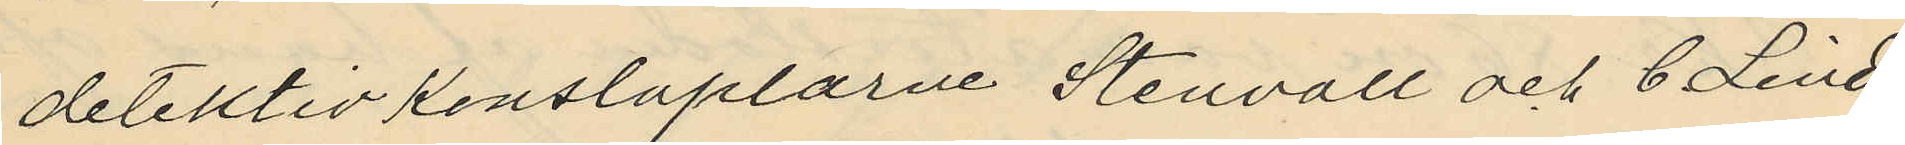detektivkonstaplarne Stenvall och C. Lind
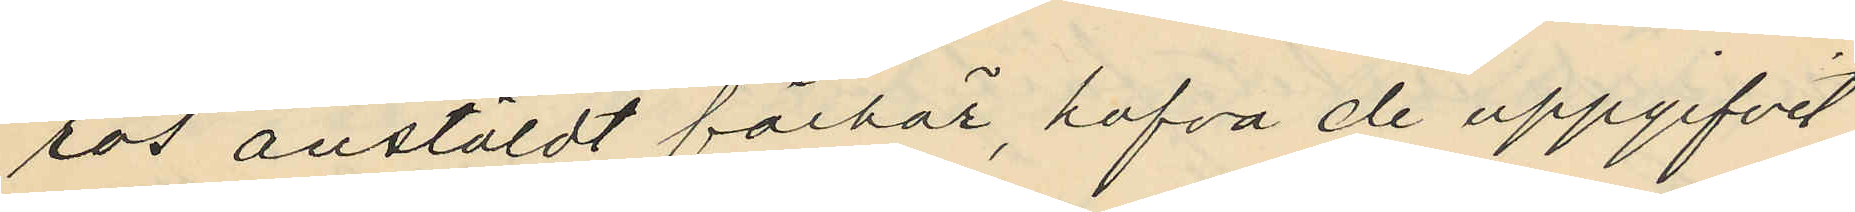ros anstäldt förhör, hafva de uppgifvit
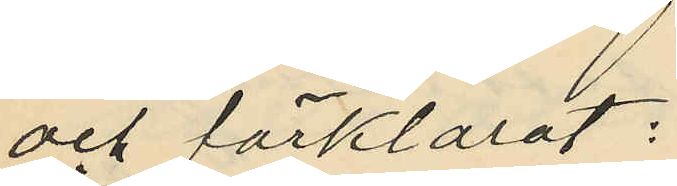och förklarat:
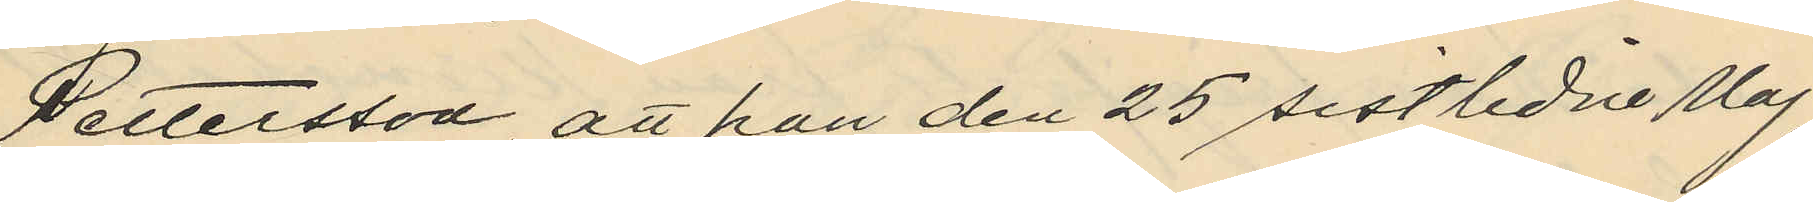Pettersson att han den 25 sistlidne Maj
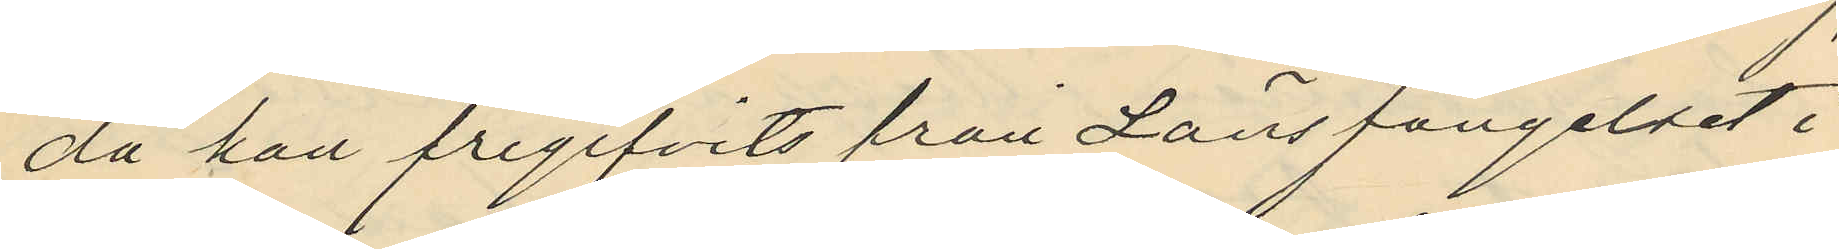då han frigifvits från Länsfängelset i
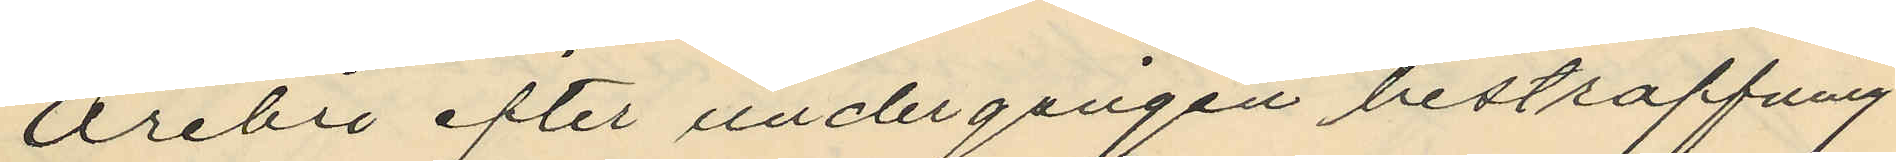Örebro efter undergången bestraffning
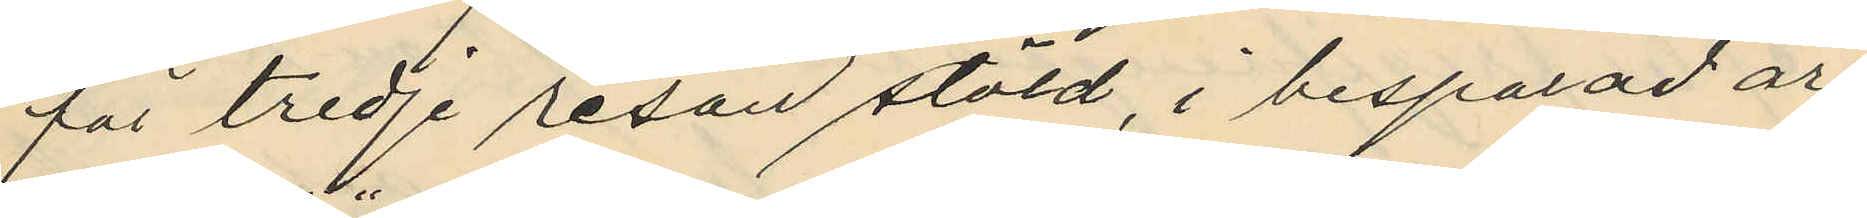för tredje resan stöld, i besparad ar¬
